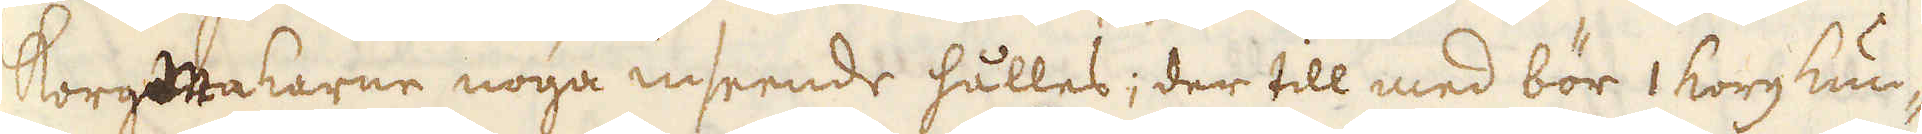Korgmakarne noga inseende hålles; der till med bör 1 korg kun-
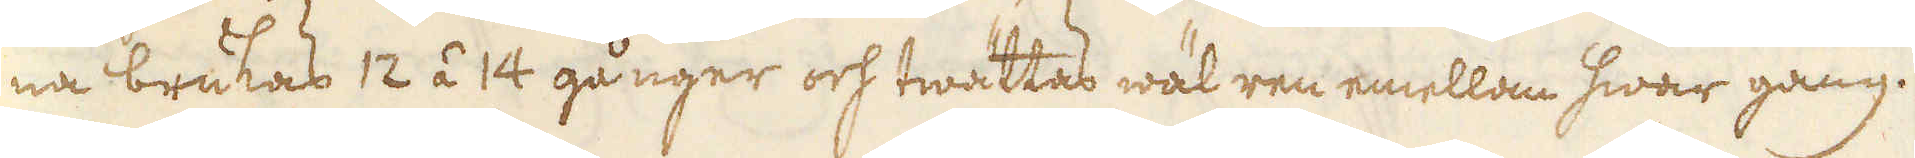na brukas 12 á 14 gånger och twättas wäl ren emellan hwar gång.
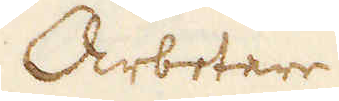Arbetare
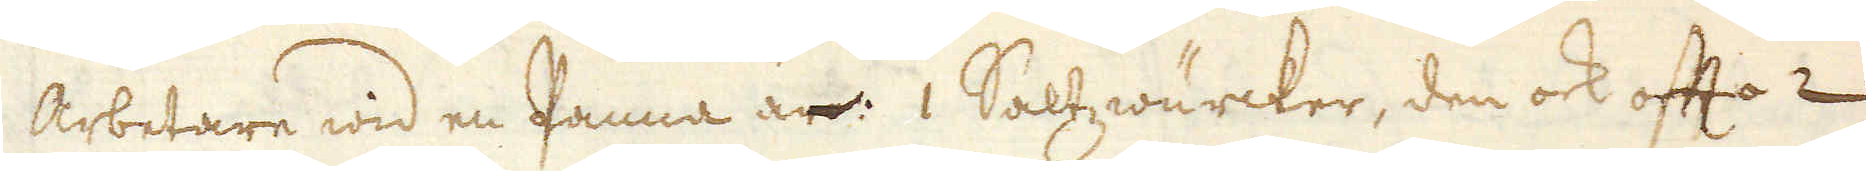Arbetare wid en Panna är: 1 Saltzwärcker, den ock offta 2
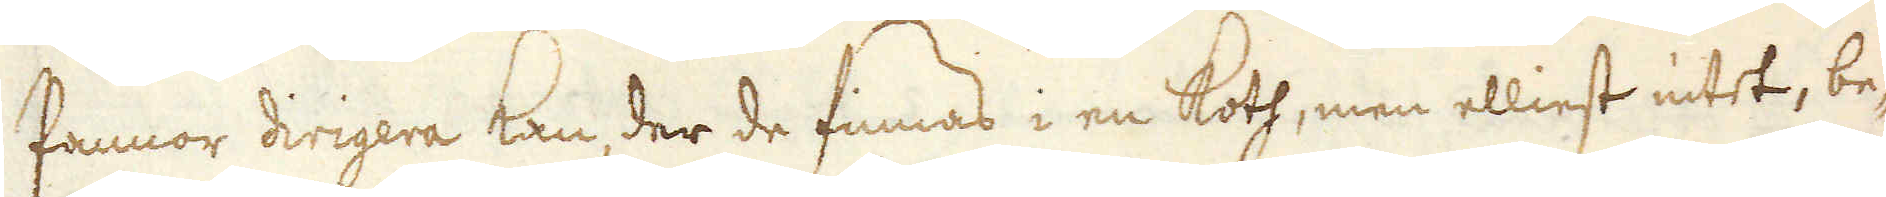Pannor dirigera kan, der de finnas i en Koth, men elliest intet, be-
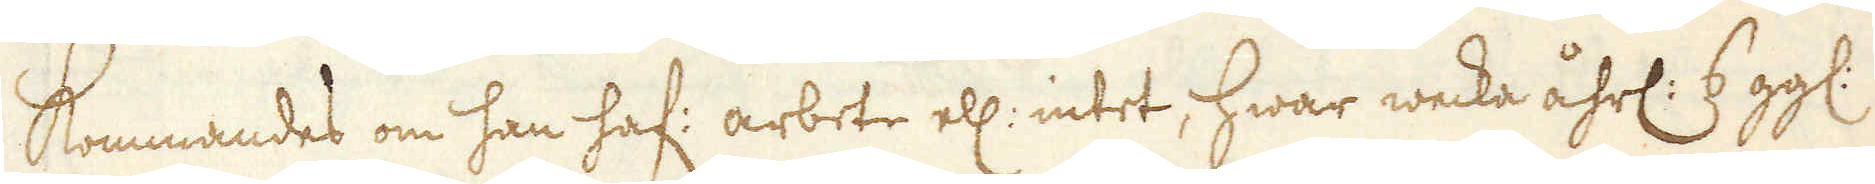kommandes om han haf: arbete ell: intet, hwar wecka åhrl: 6 gg:
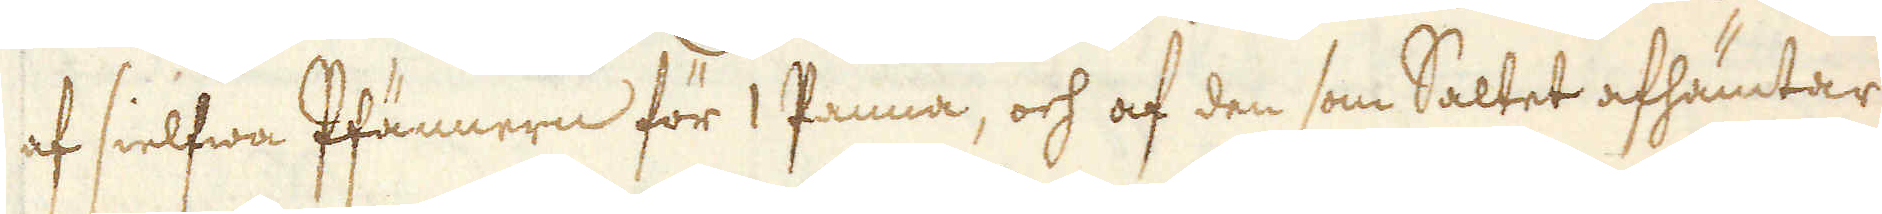af sielfwa Pfännern för 1 Panna, och af den som Saltet afhämtar
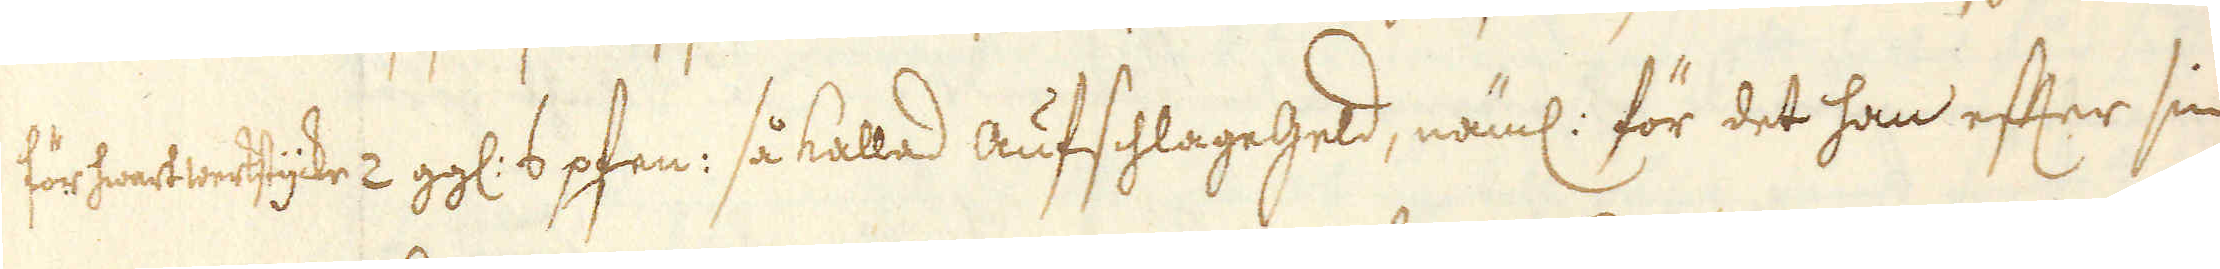för hwart werkstycke 2 gg: 6 pfen: så kallad aufshlagegeld, näml: för det han efter sin
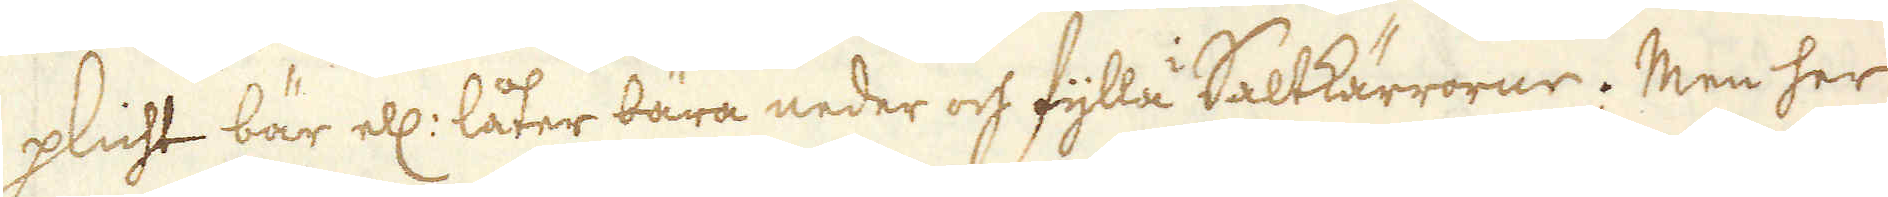plicht bär ell: låter bära neder och fylla Saltkärrorne. Men her
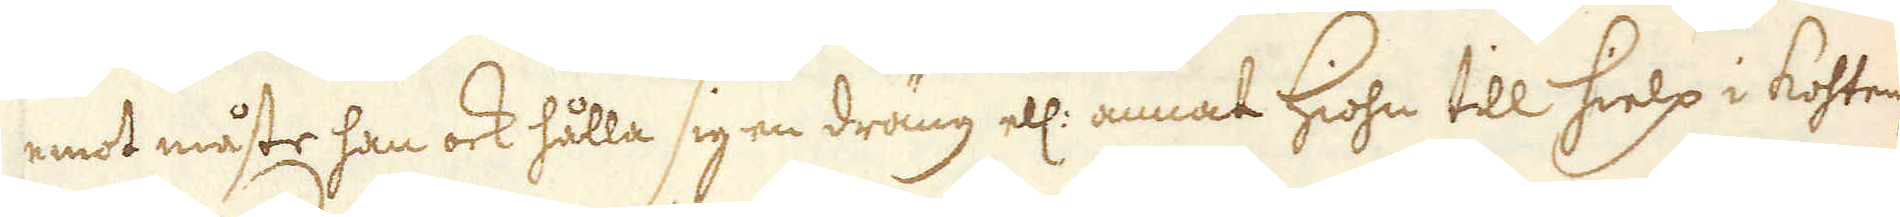emot måste han ock hålla sig en dräng ell: annat Hiohn till hielp i kohten,
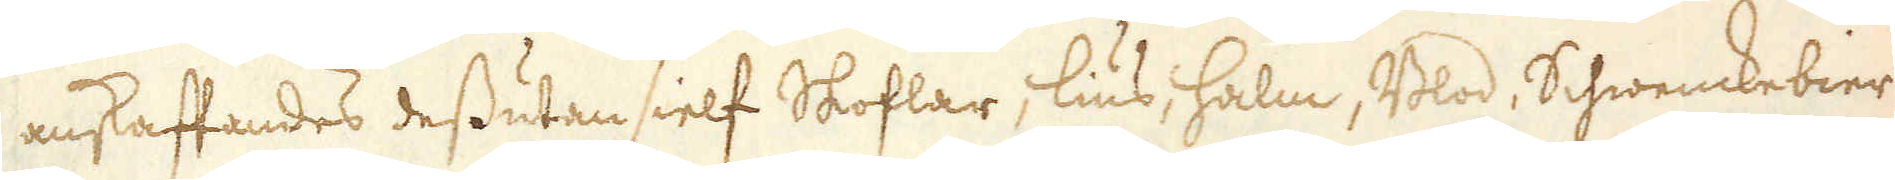anskaffandes dessutan sielf Skoflar, lius, halm, Blod, Schwenckebier
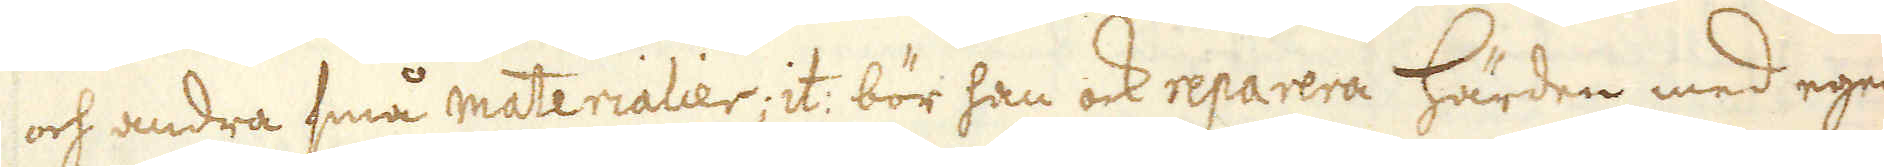och andra små materialier; it: bör han ock reparera härden med egen
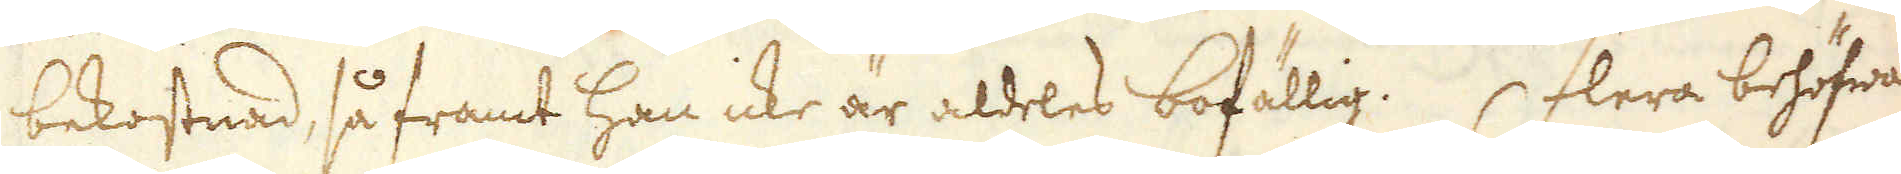bekostnad, så framt han icke är aldeles bofällig. Flera behöfwas
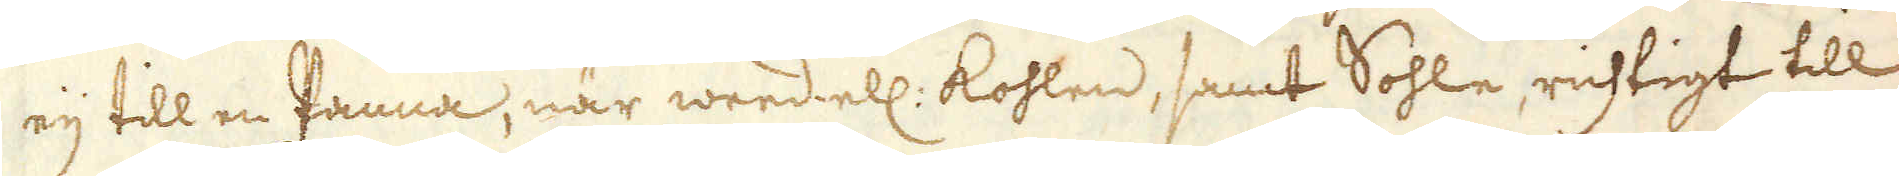eij till en Panna, när weed ell: kohlen, samt Sohle, richtigt till
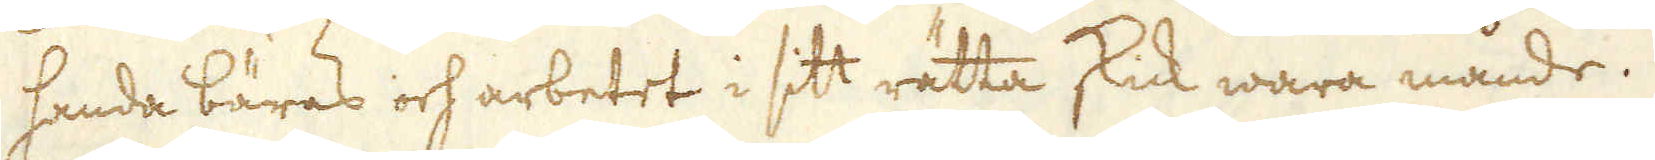handa bäras och arbetet i sitt rätta skick wara månde.
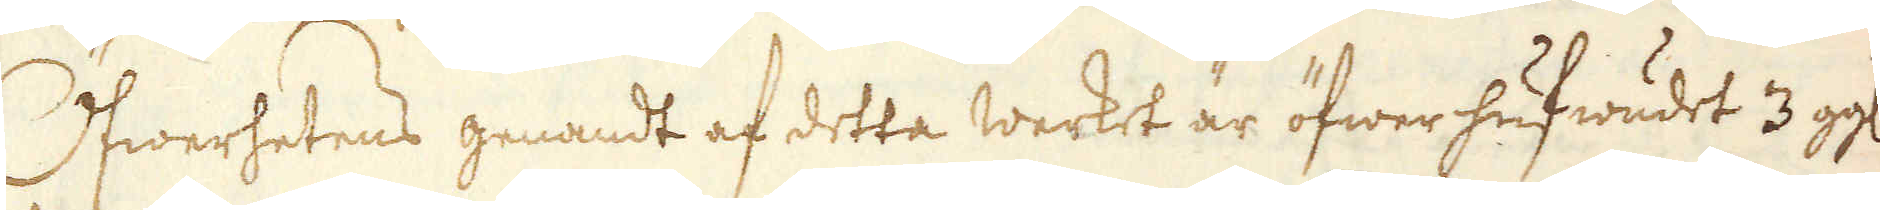Öfwerhetens genandt af detta werket är öfwer hufwudet 3 gg:
